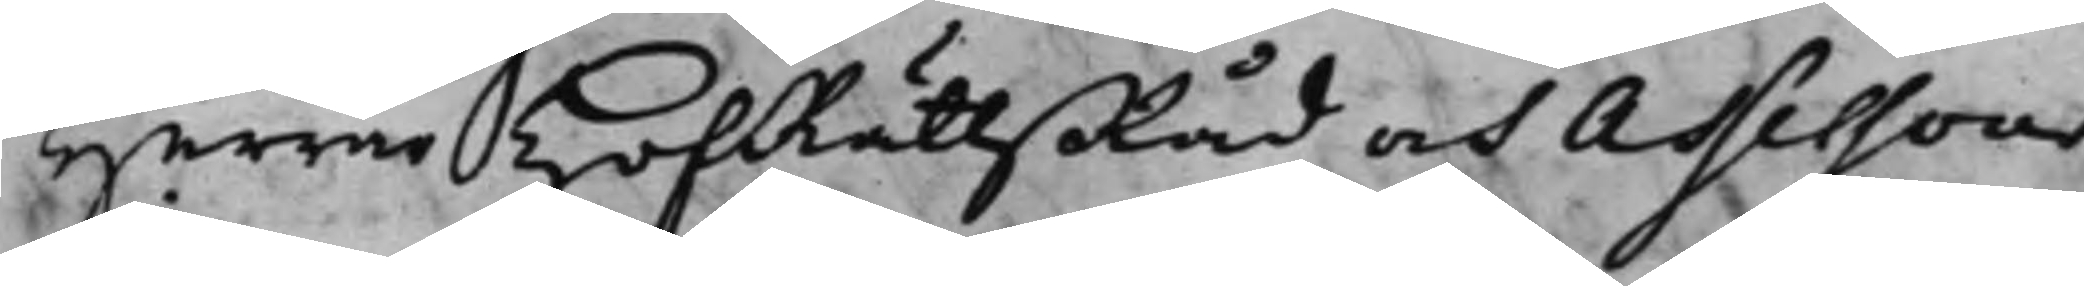Herrar HofRättsRåd och Assessorer
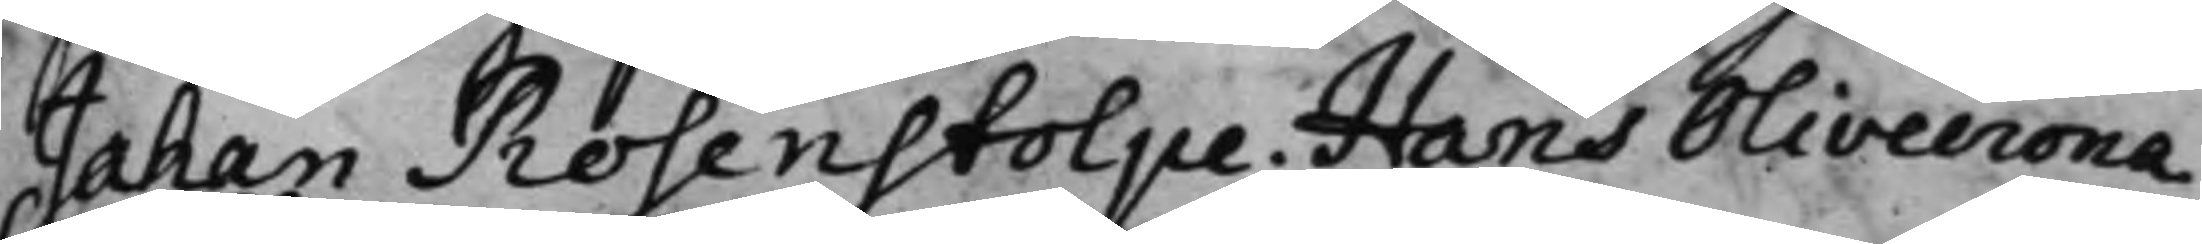Johan Rosenstolpe. Hans Olivecrona.
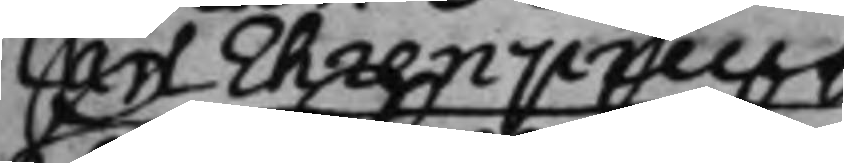Carl Ehrenpreus
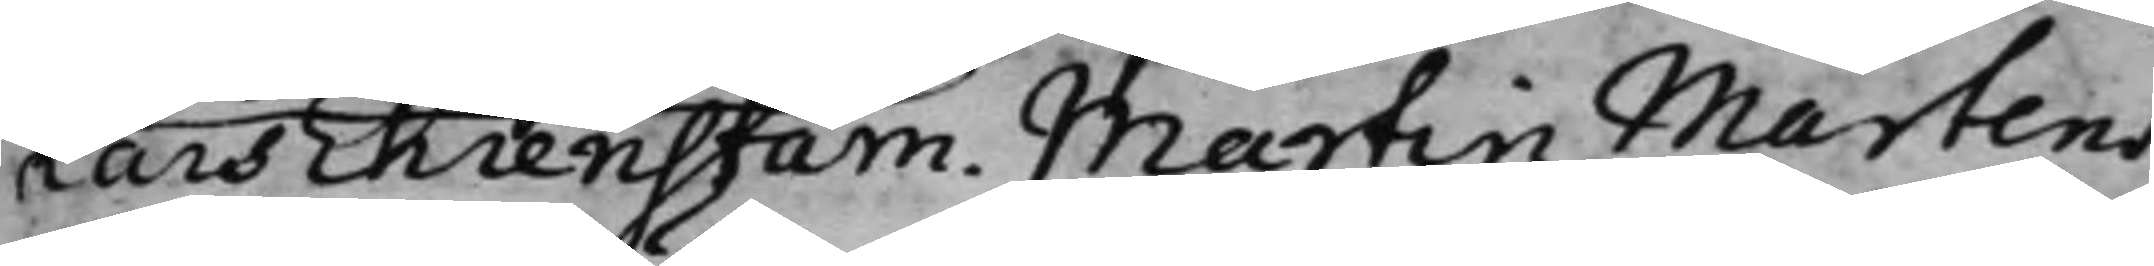Lars Ehrenstam. Martin Martens.
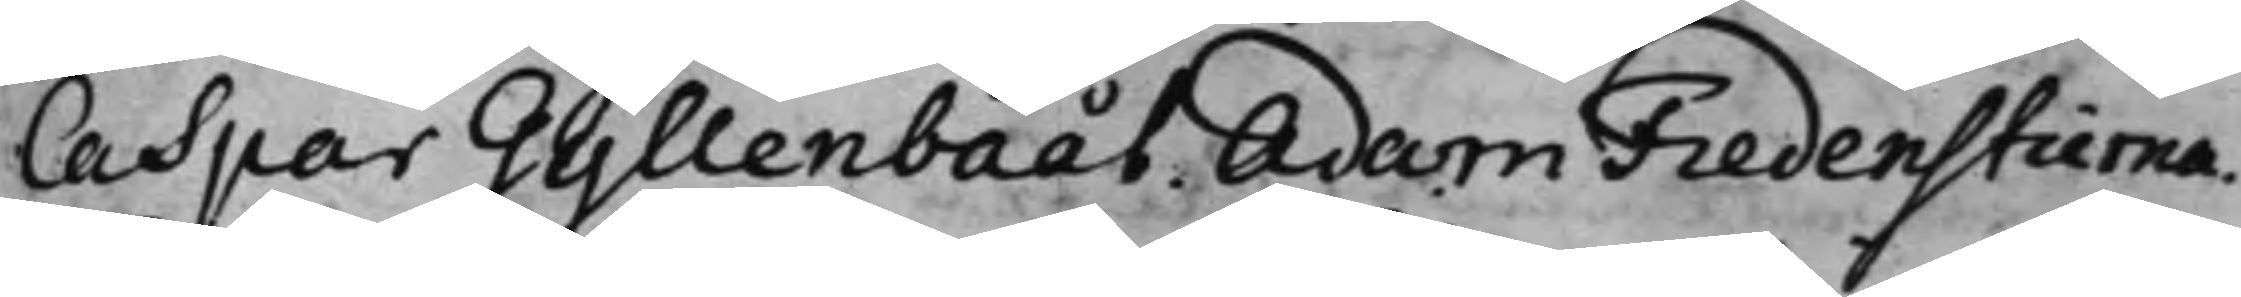Caspar Gyllenbååt Adam Fredenstierna.
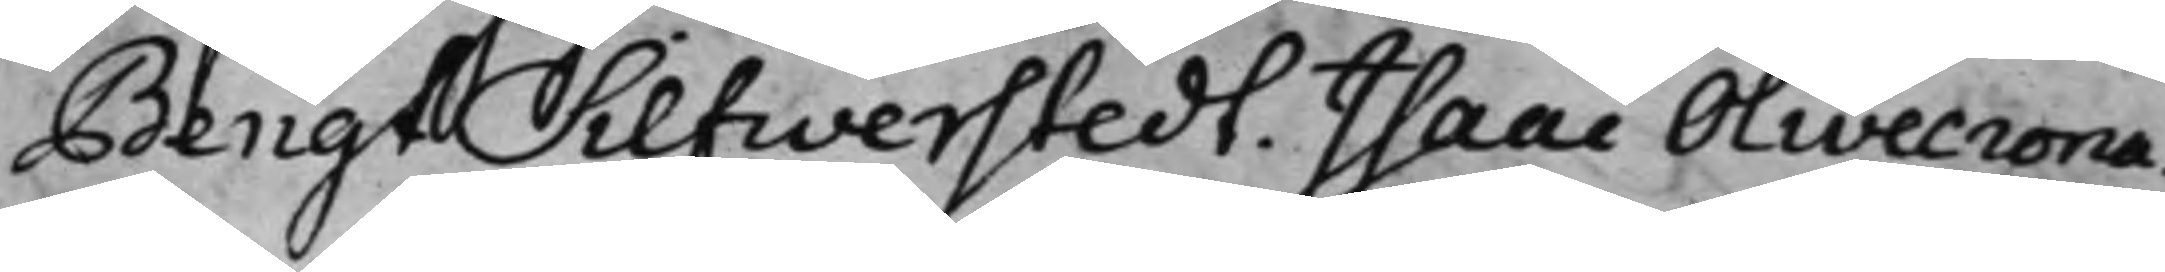Bengt Silfwerstedt. Isaac Olivecrona.
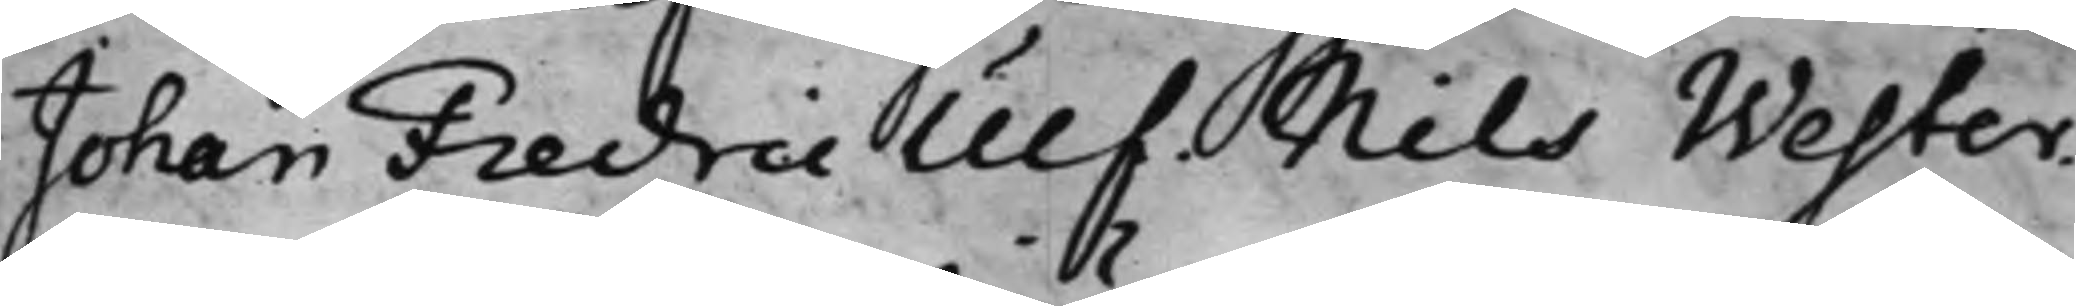Johan Fredric Ulf. Nils Wester.
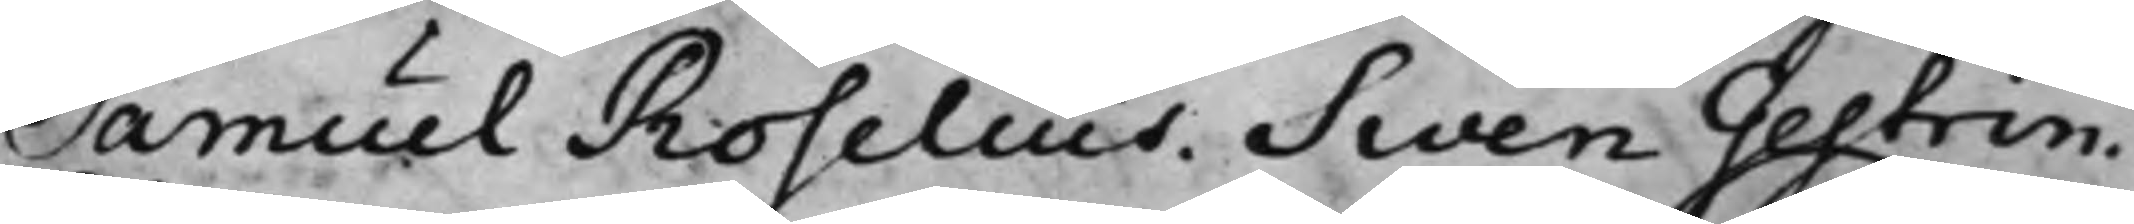Samuel Roselius. Swen Gestrin.
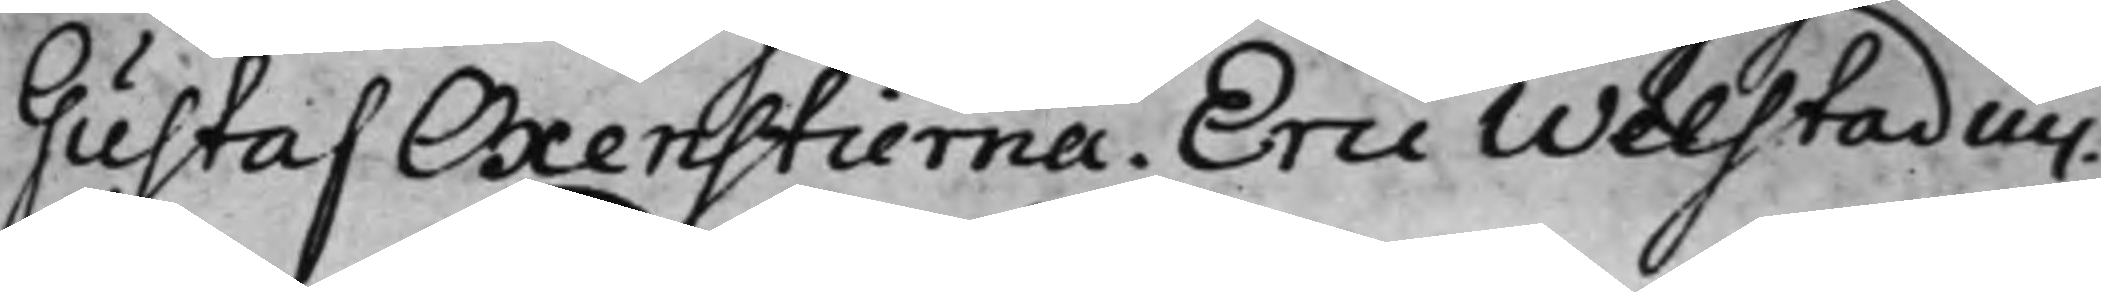Gustaf Oxenstierna. Eric Welstadius.
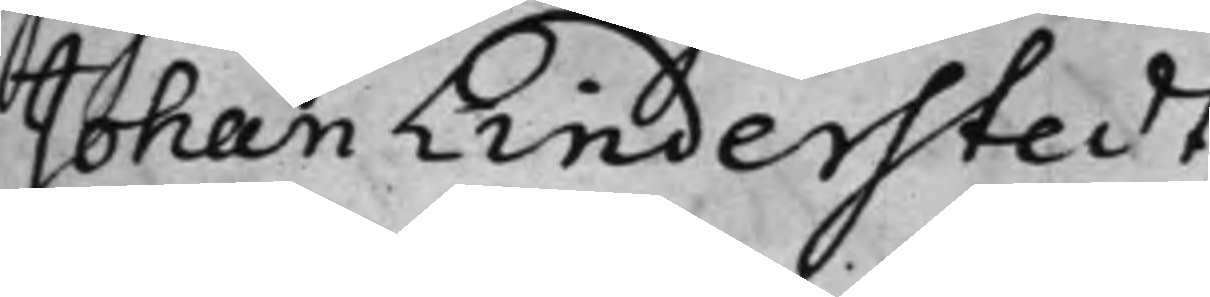Johan Linderstedt.
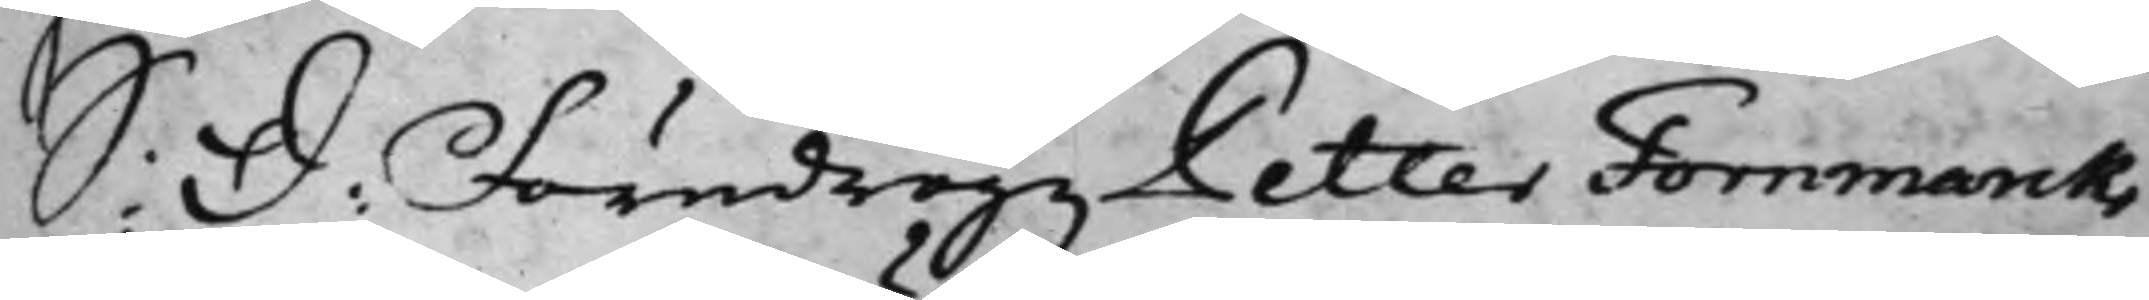S: D: Föredrogz Petter Fornmarcks
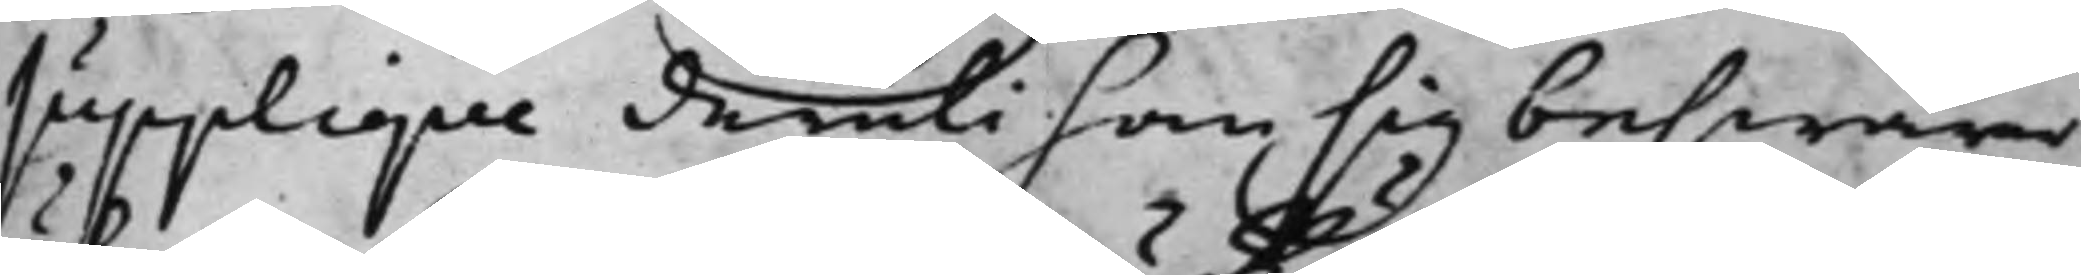supplique deruti han sig beswärar
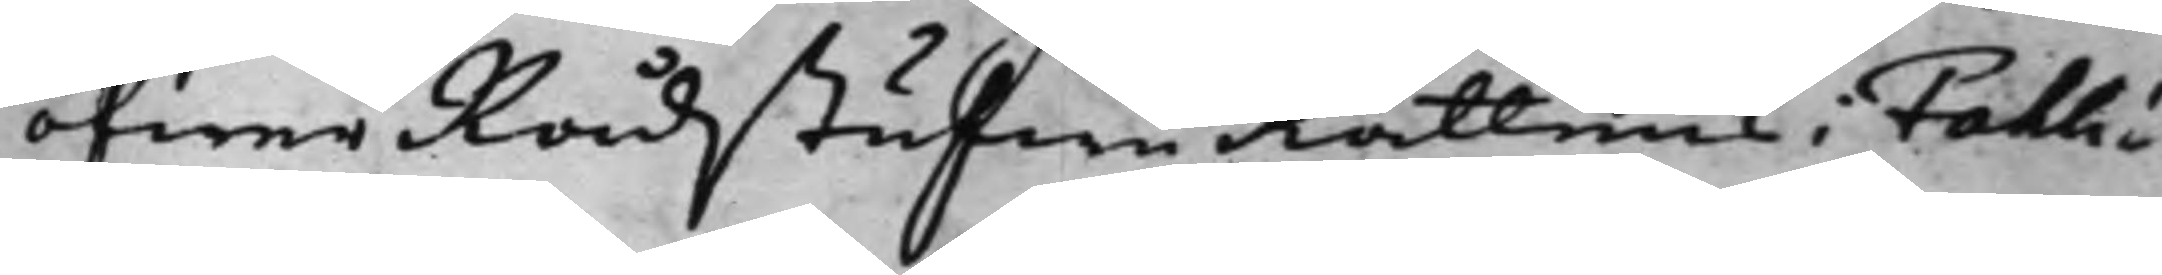öfwer RådstufwuRättens i Fahlu
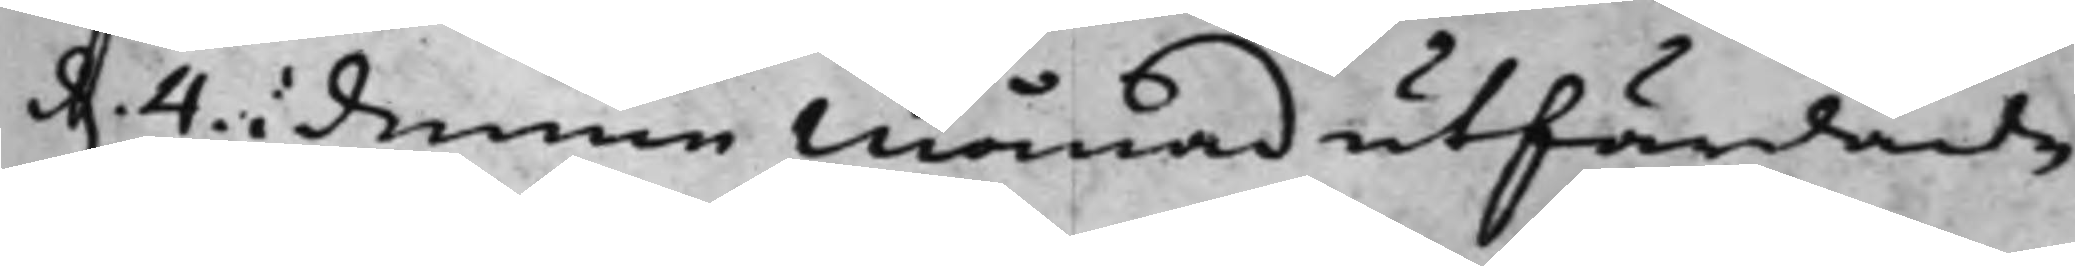d. 4 i denne Månad utfärdade
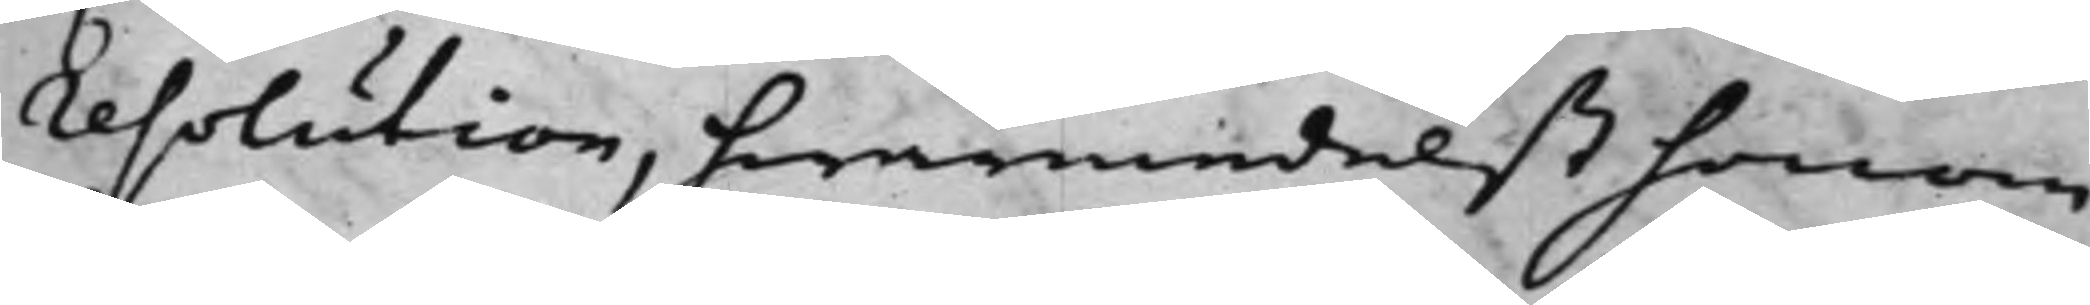resolution, hwarmedelst honom
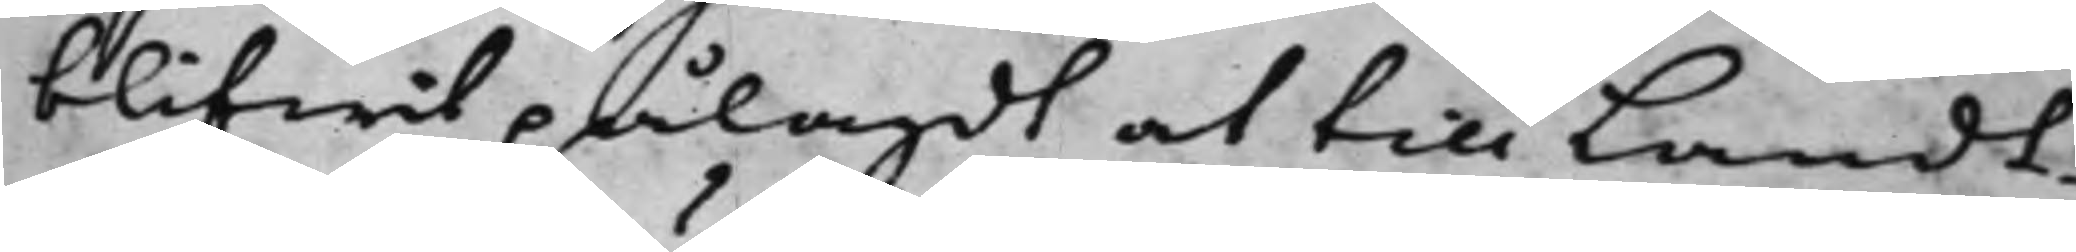blifwit pålagdt at till Landt¬
